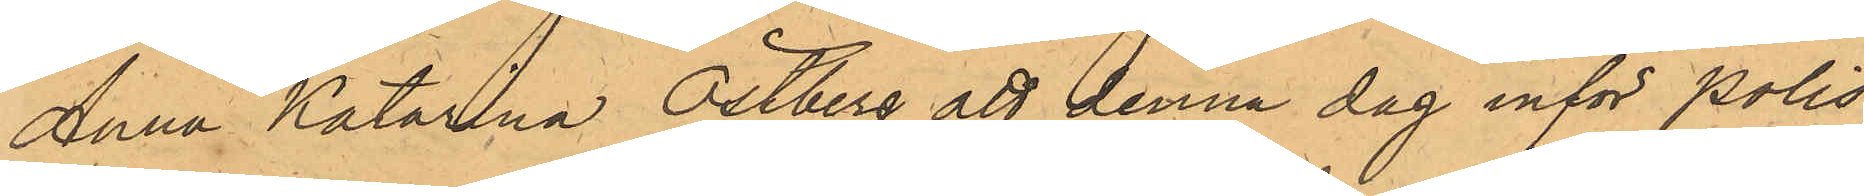Anna Katarina Östberg att denna dag inför Polis¬
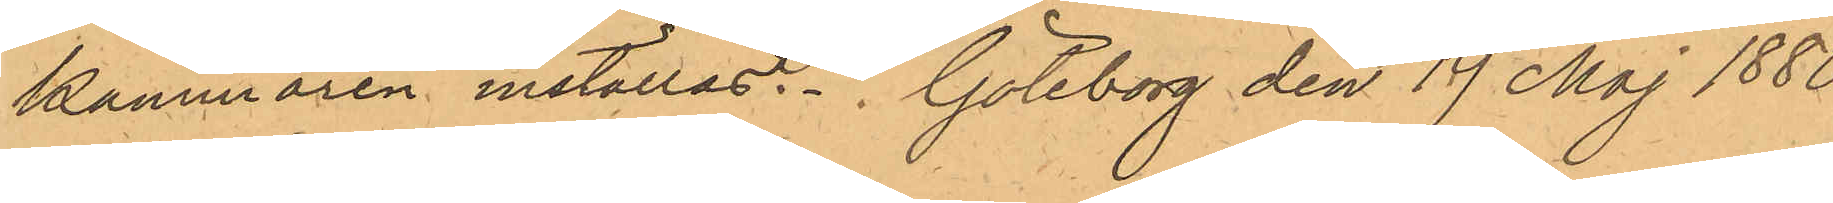kammaren inställas. Göteborg den 19 Maj 1880.
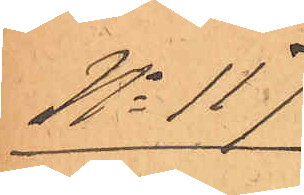No 117
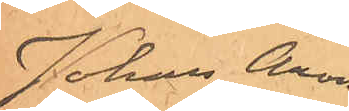Johan Aron
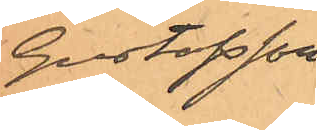Gustafsson.
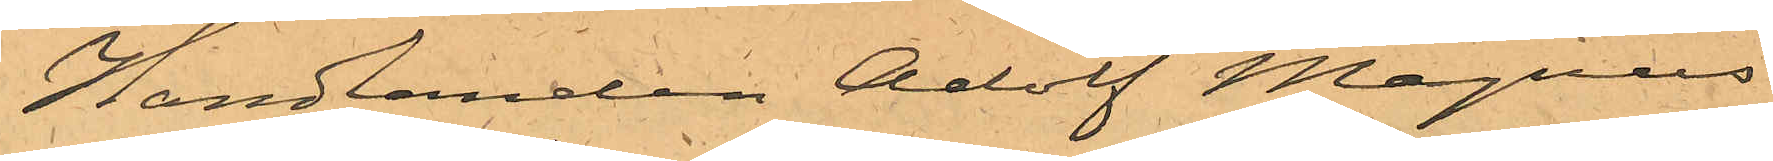Handlanden Adolf Magnus
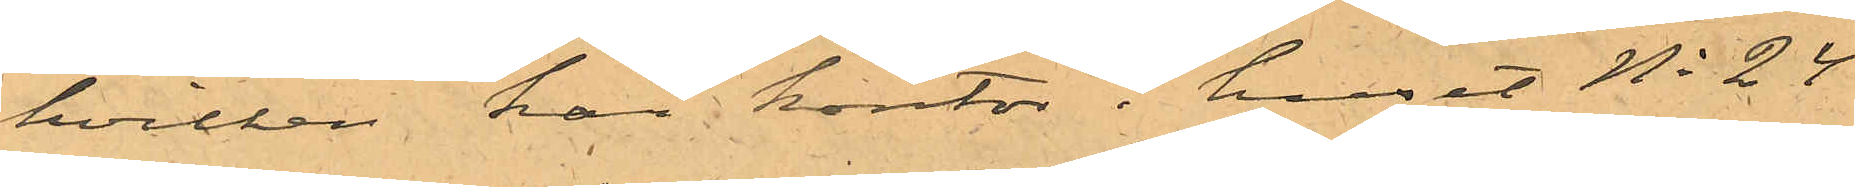hvilken har kontor i huset No 24
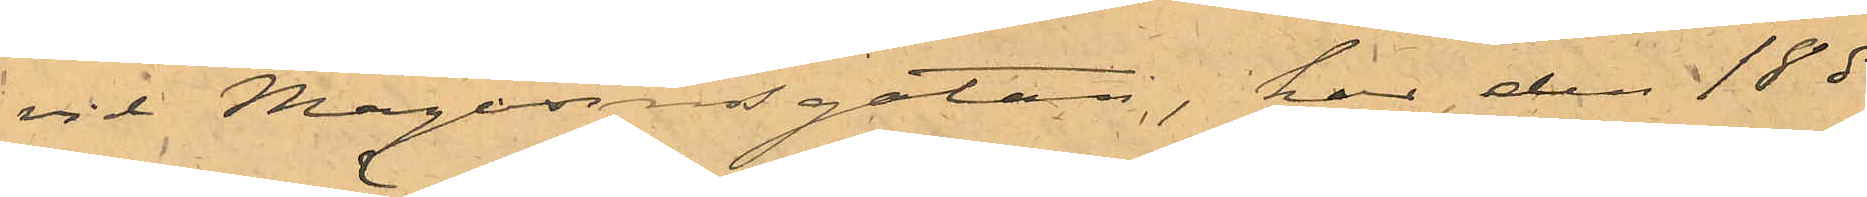vid Magasinsgatan, har den 18 ds
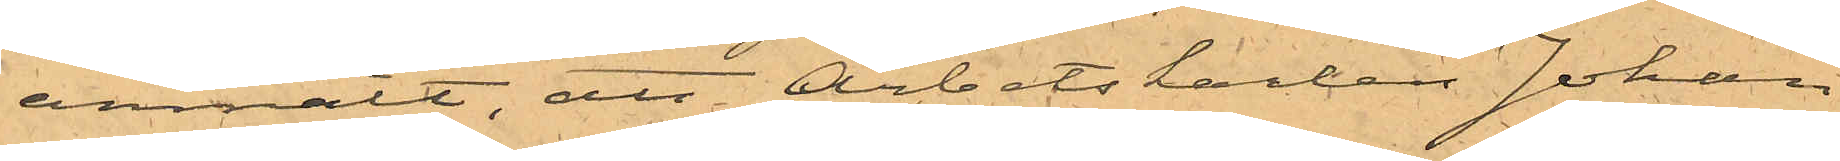anmält, att Arbetskarlen Johan
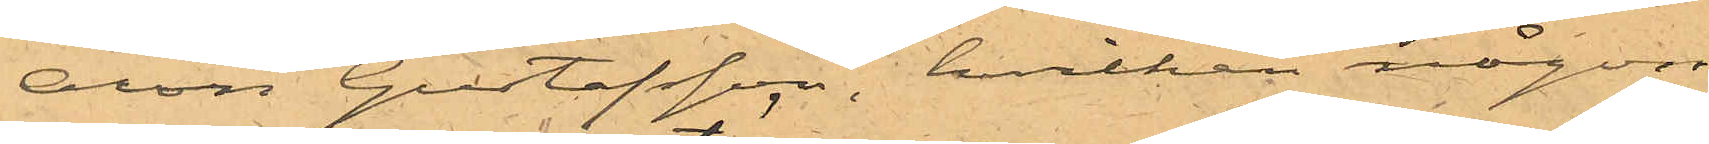Aron Gustafsson, hvilken någon
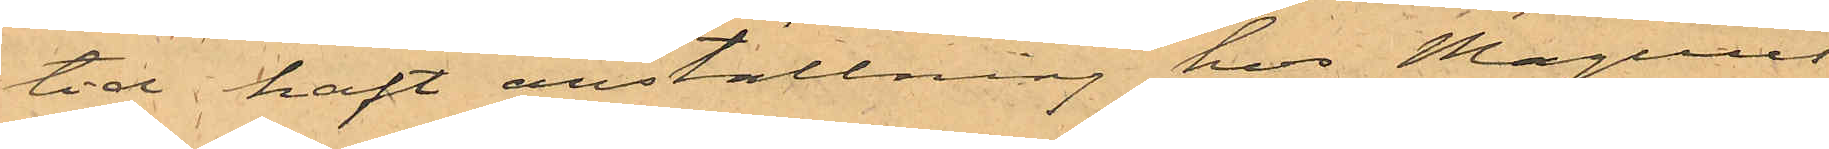tid haft anställning hos Magnus'
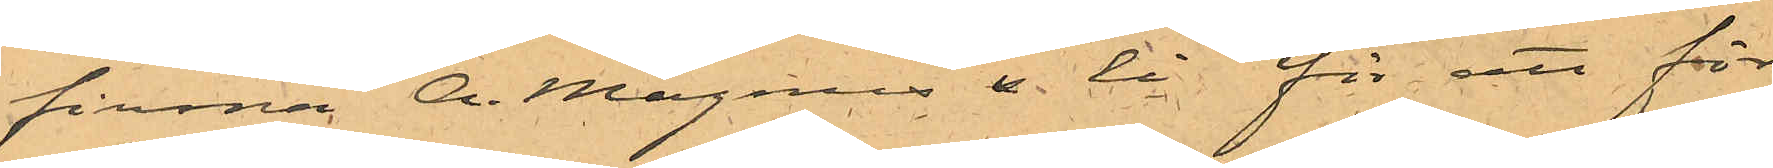firma A. Magnus & Ci för att för
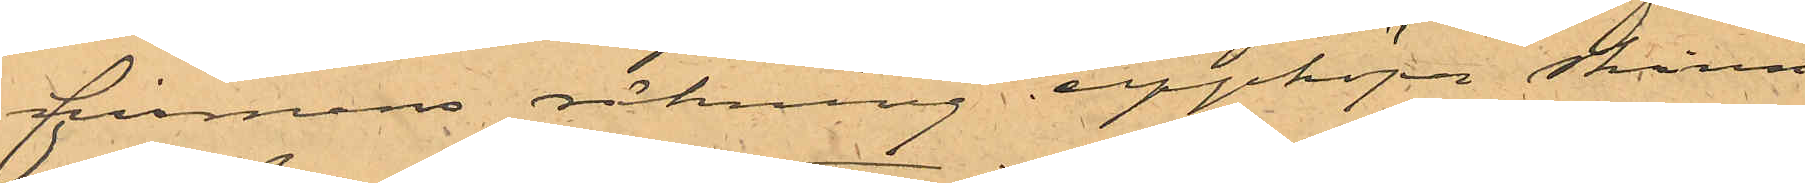firmans räkning uppköpa skinn
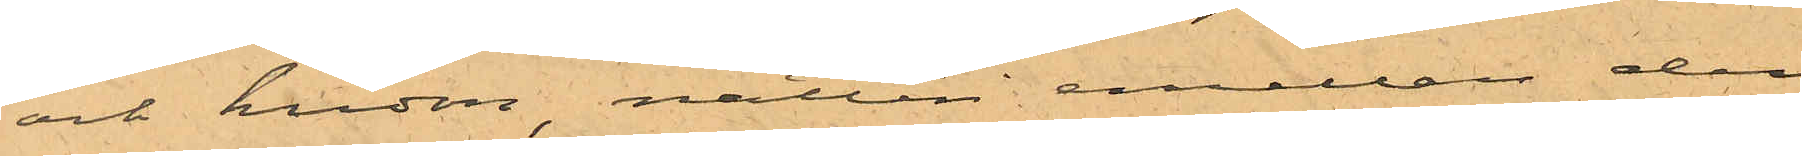och hudar natten mellan den
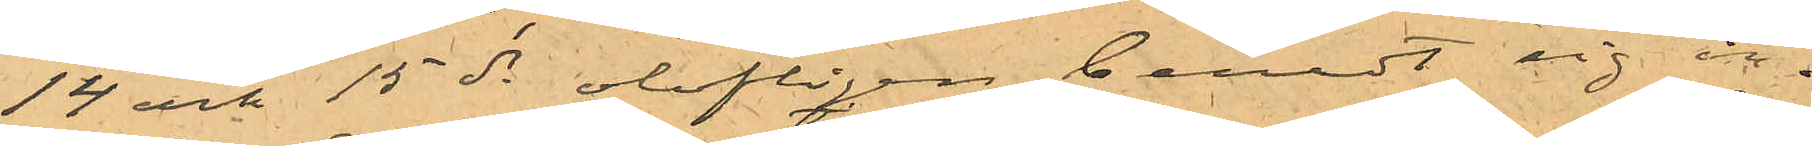14 och 15 ds olofligen beredt sig in¬
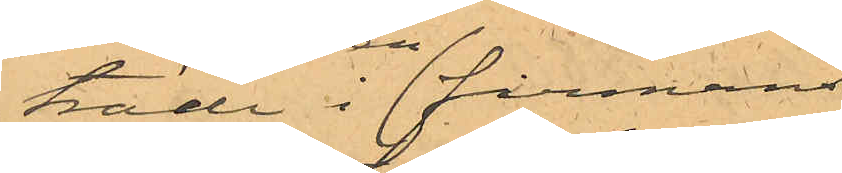träde i en firmans
